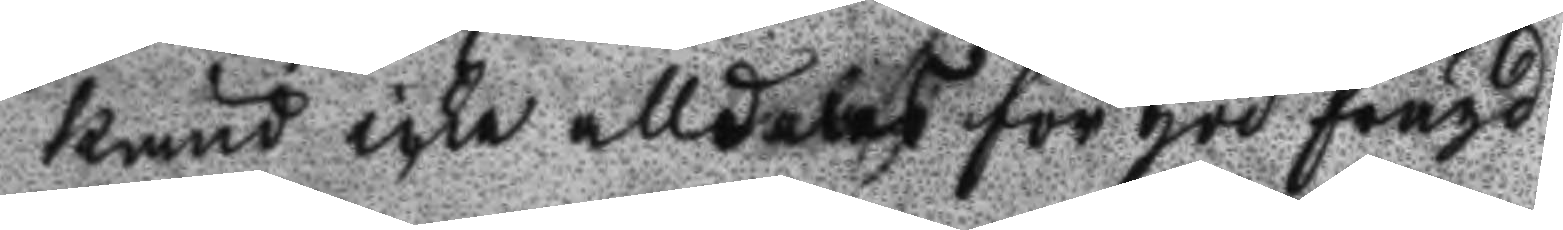känd icke alldeles för god frägd.
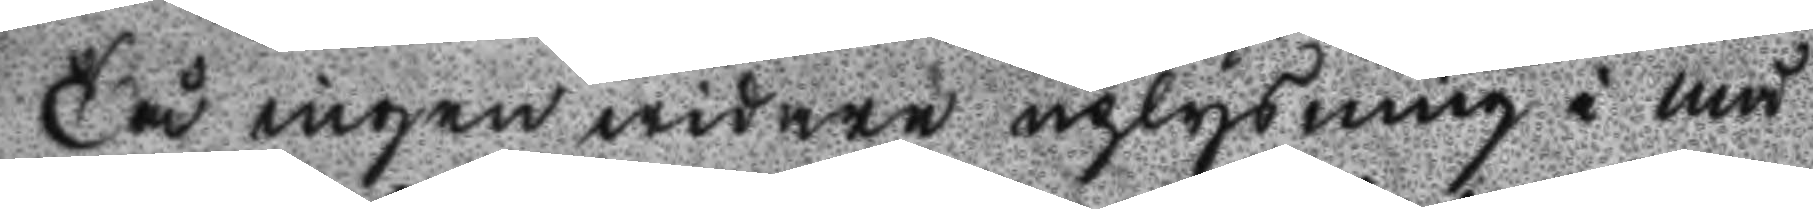Tå ingen widare uplysning i må
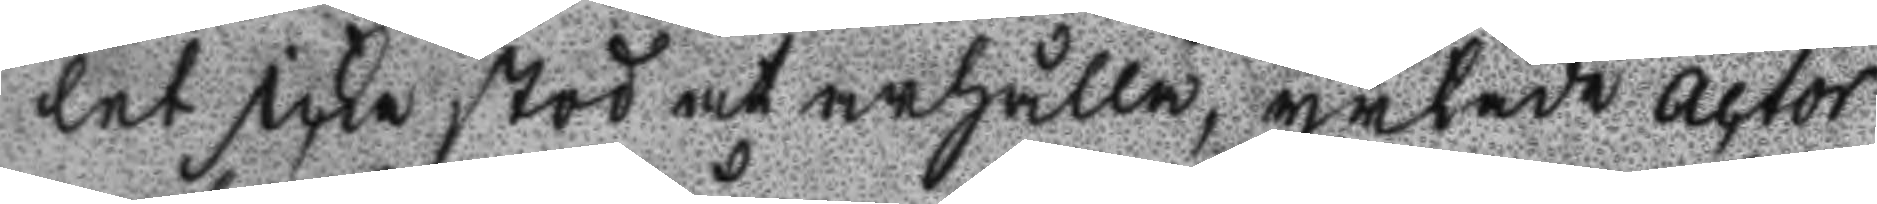let icke stod at arhålla, yrkade actor
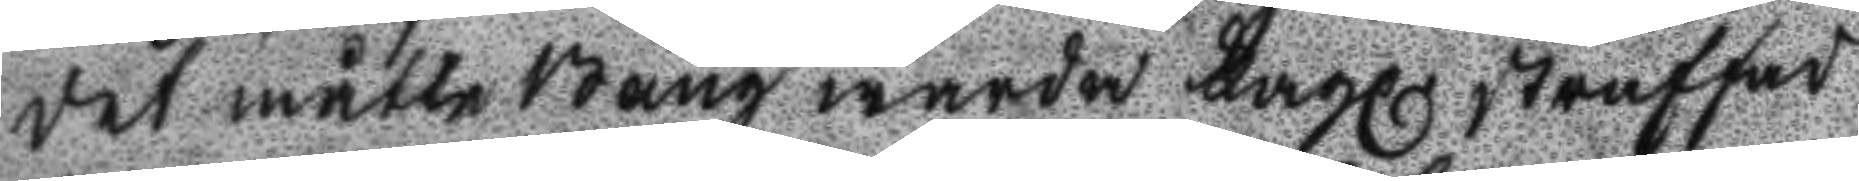det måtte Bång warda Lagl. straffad
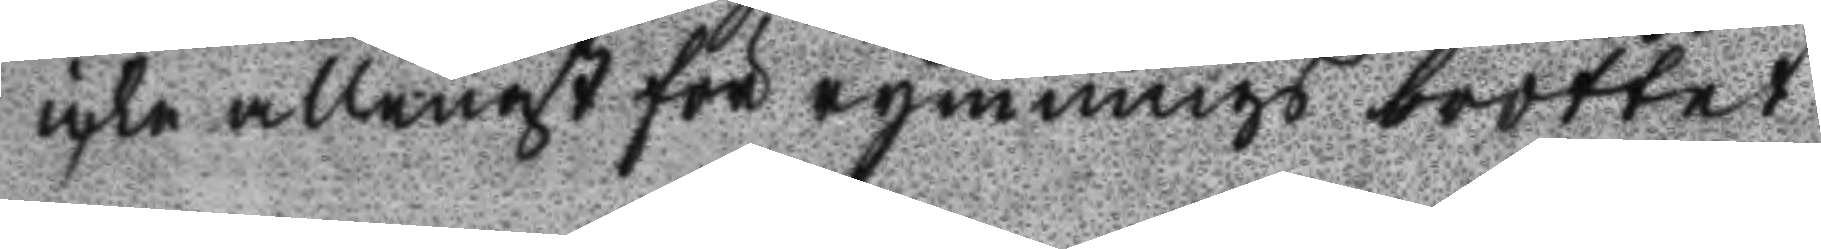icke allenast för rymnings brottet
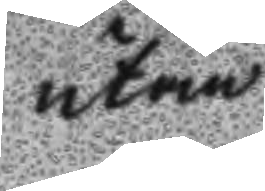utan
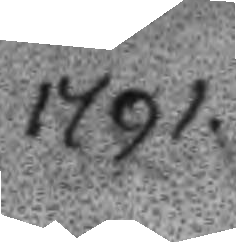1791.
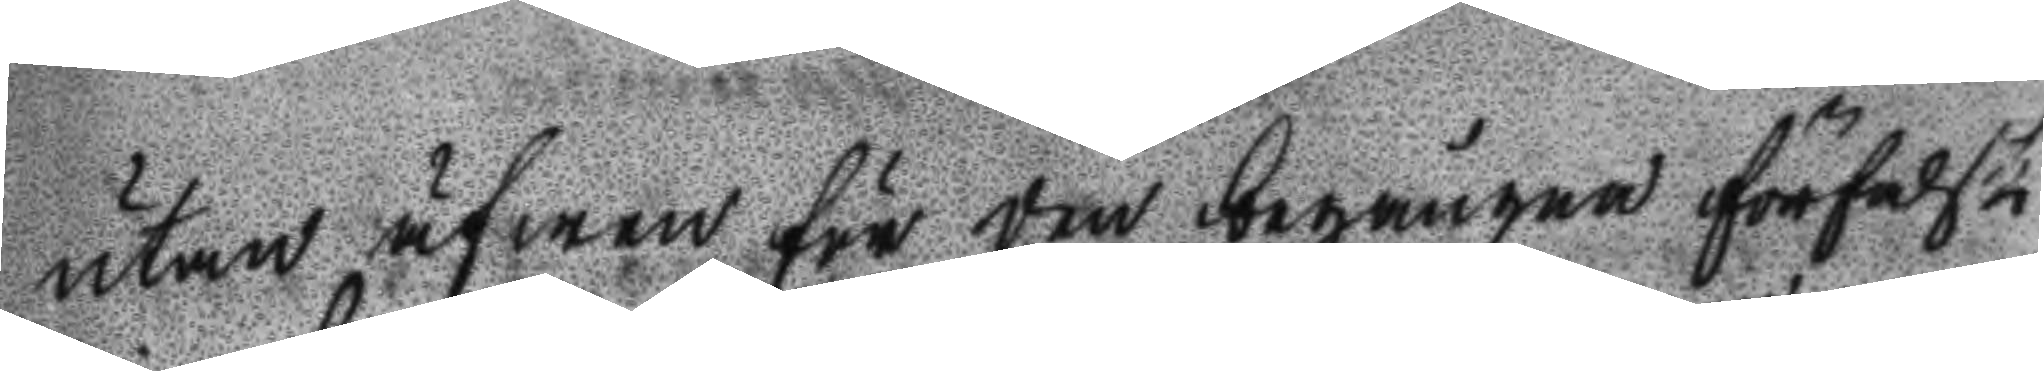utan äfwen för den begångne förfalsk
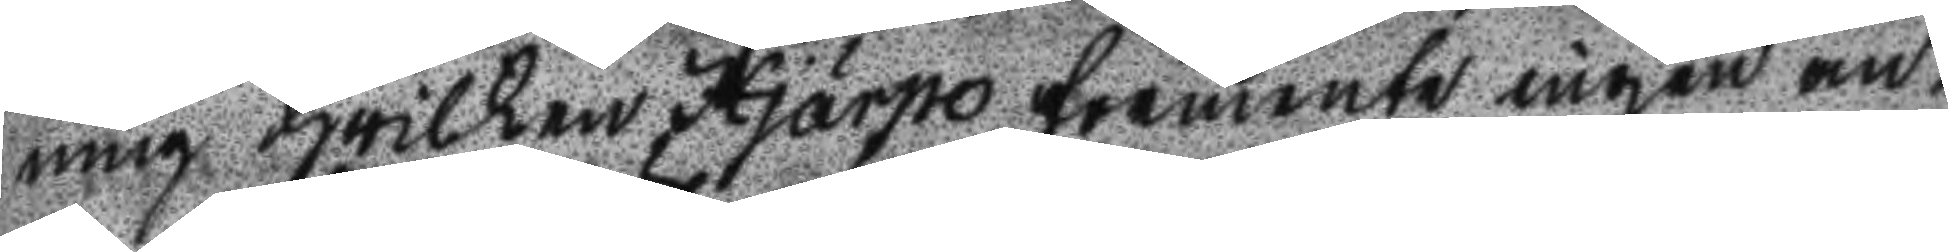ning hwilken Hjärpe förmente ingen an¬
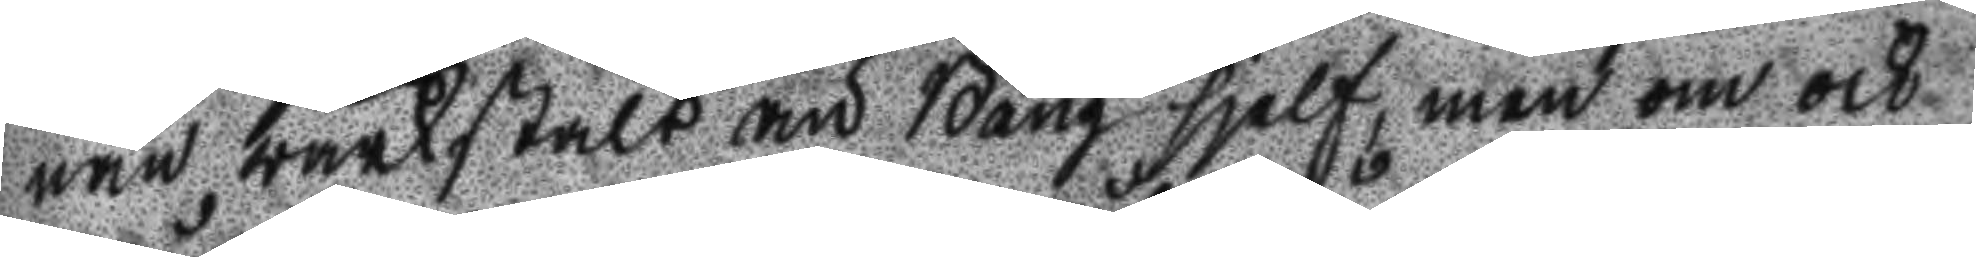nan wärkstält än Bång sjelf, men om ock
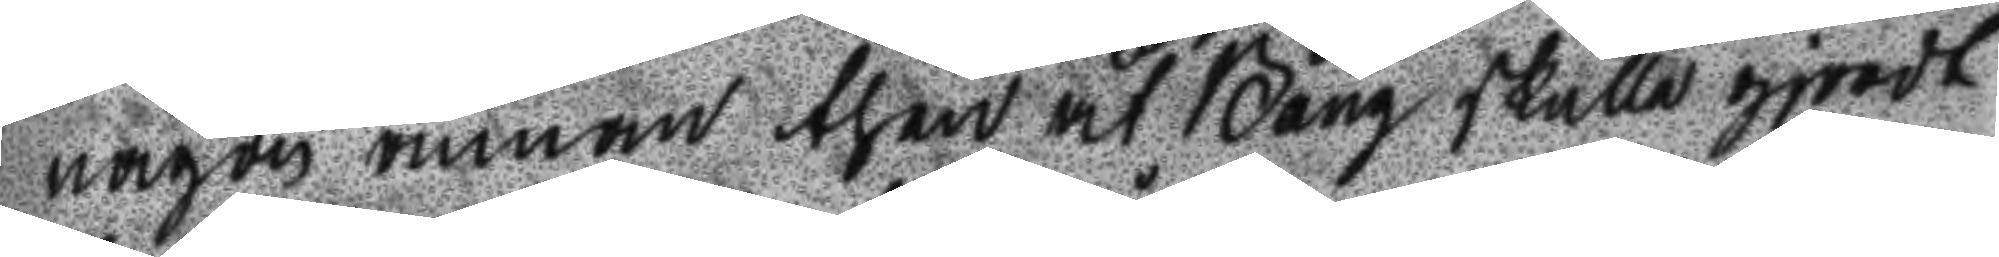någon annan then åt Bång skulle gjordt
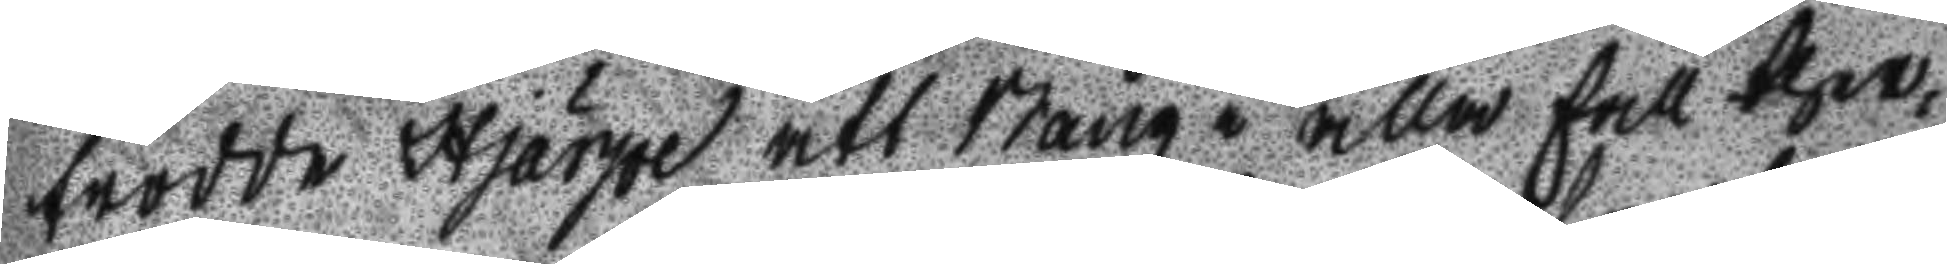trodde Hjärpe att Bång i alla fall ther¬
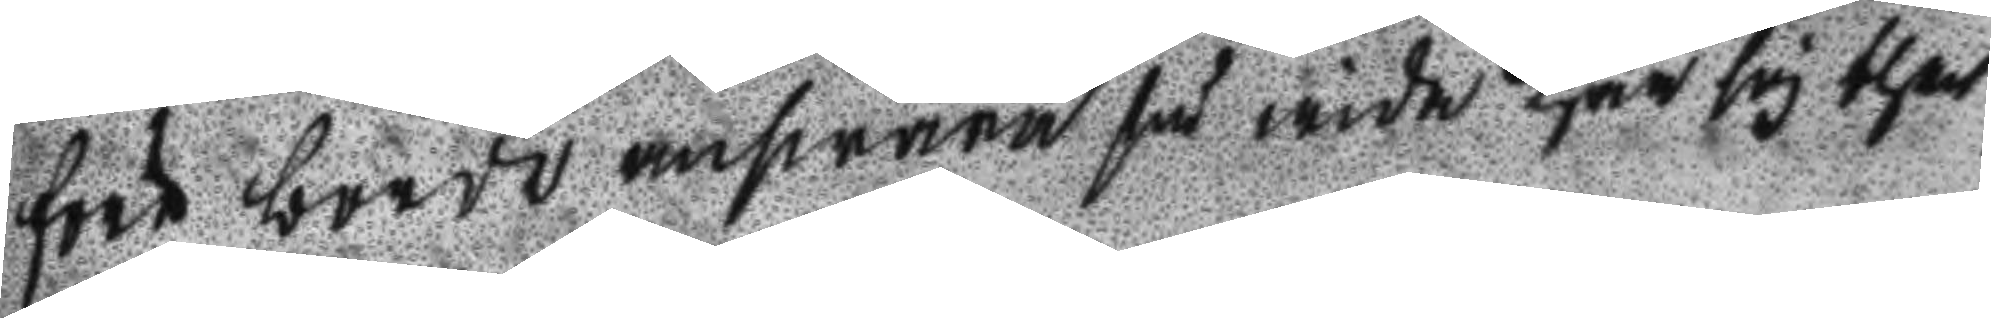före borde answara så wida han sig ther
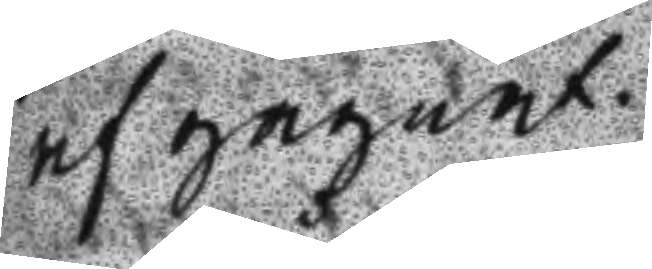af gagnat.
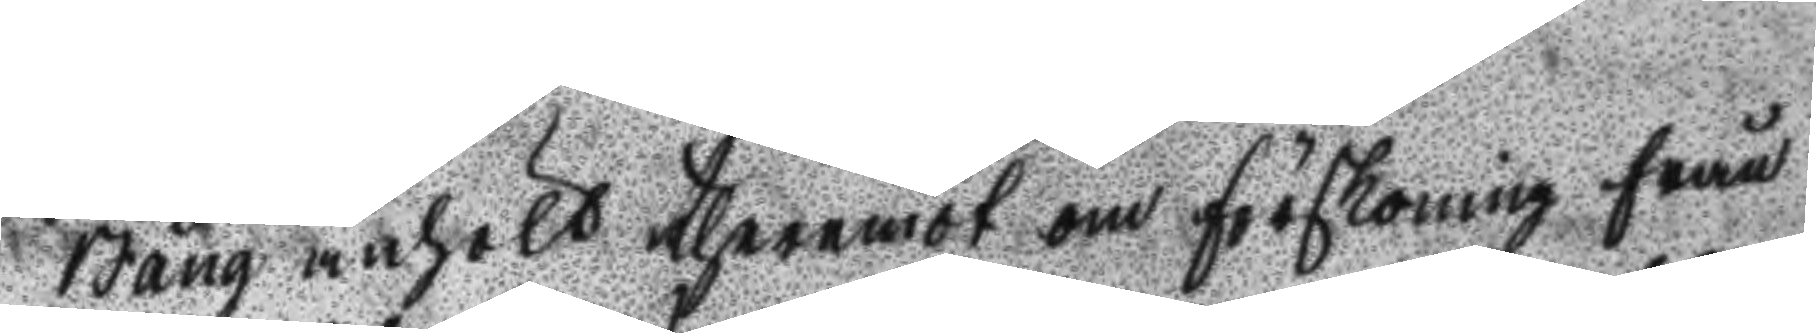Bång anhölt theremot om förskoning från
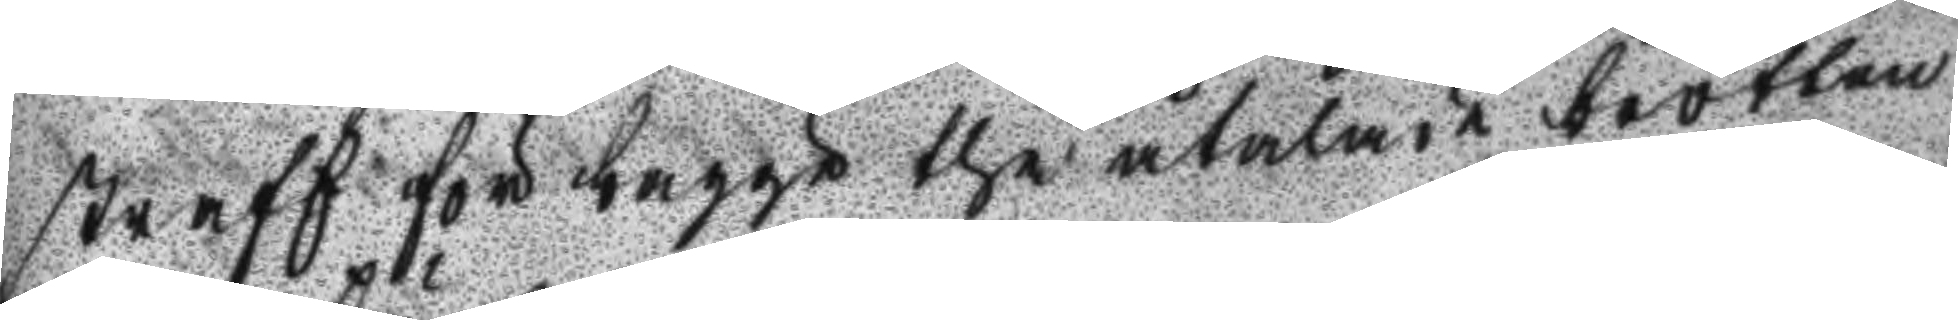straff för bägge the åtalade brotten
